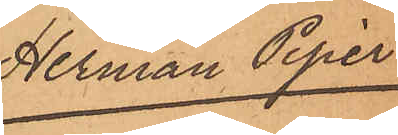Herman Piper
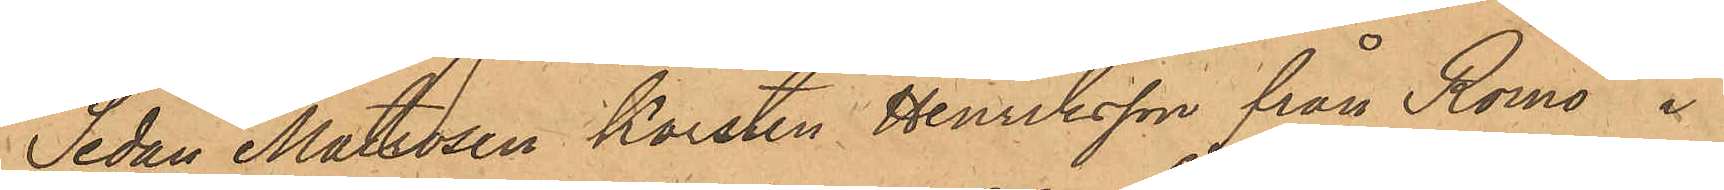Sedan Matrosen Karsten Henriksson från Romö i
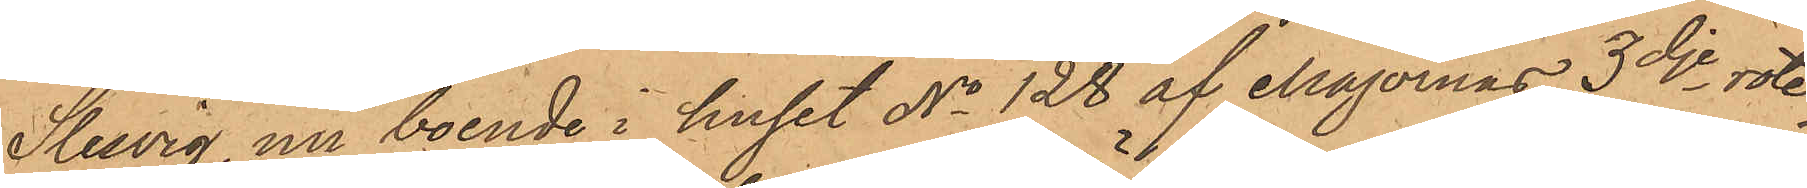Slesvig, nu boende i huset No 128 af Majornas 3dje rote,
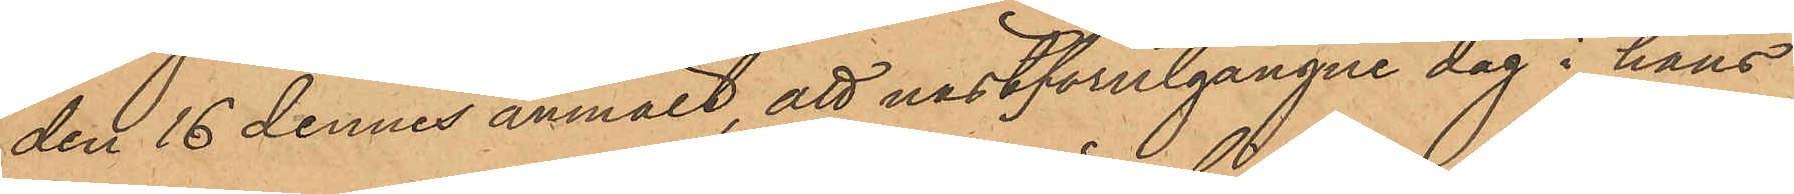den 16 dennes anmält, att nästförutgångne dag i hans
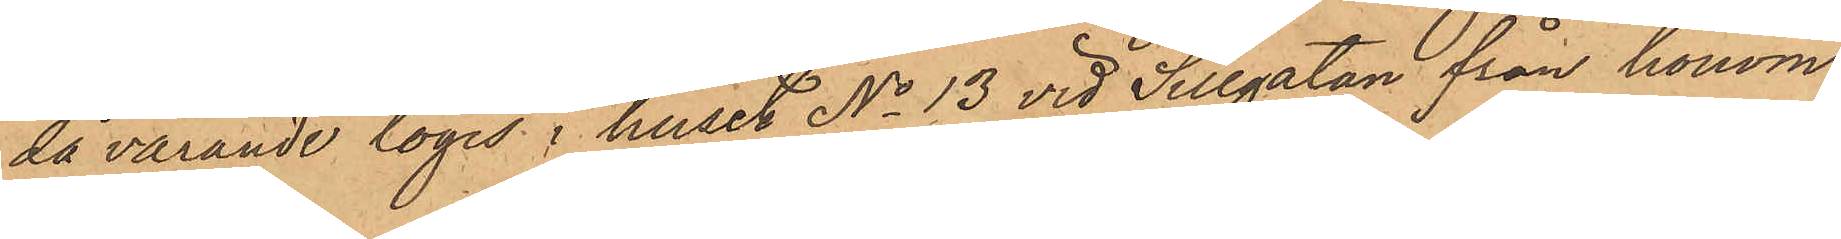då varande logis i huset No 13 vid Sillgatan från honom
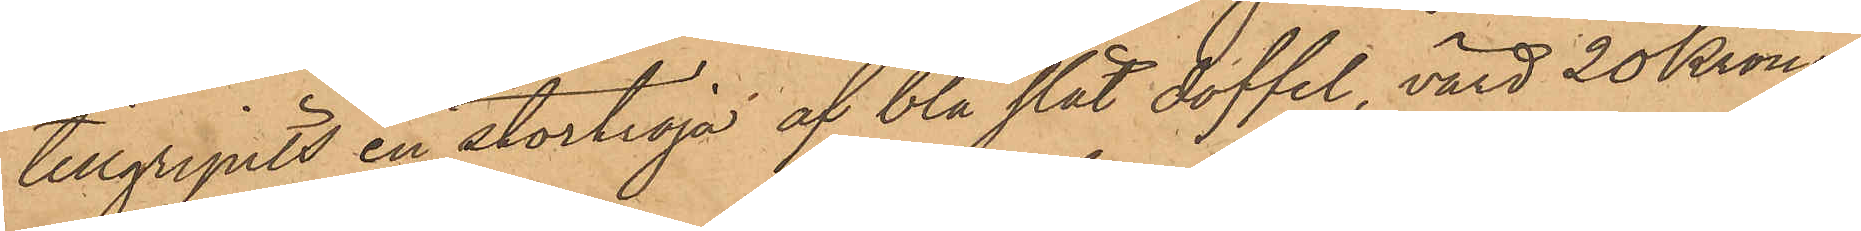tillgripits en stortröja af blå slät doffel, värd 20 Kronor,
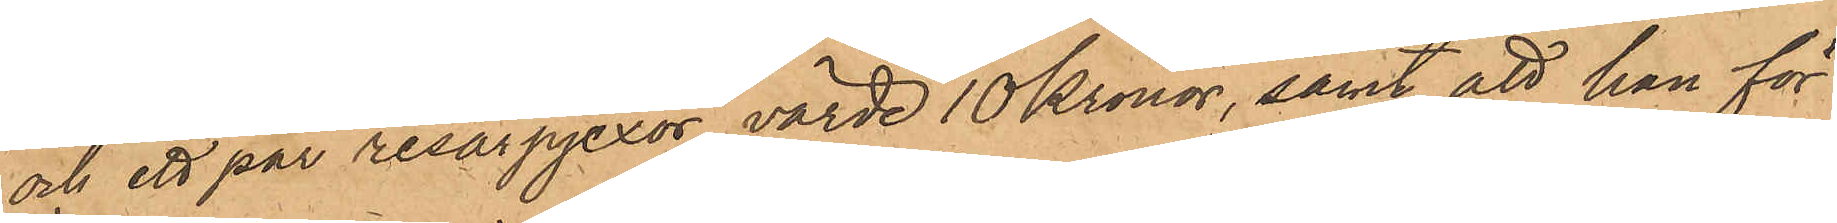och ett par resårpjexor, värde 10 Kronor, samt att han för
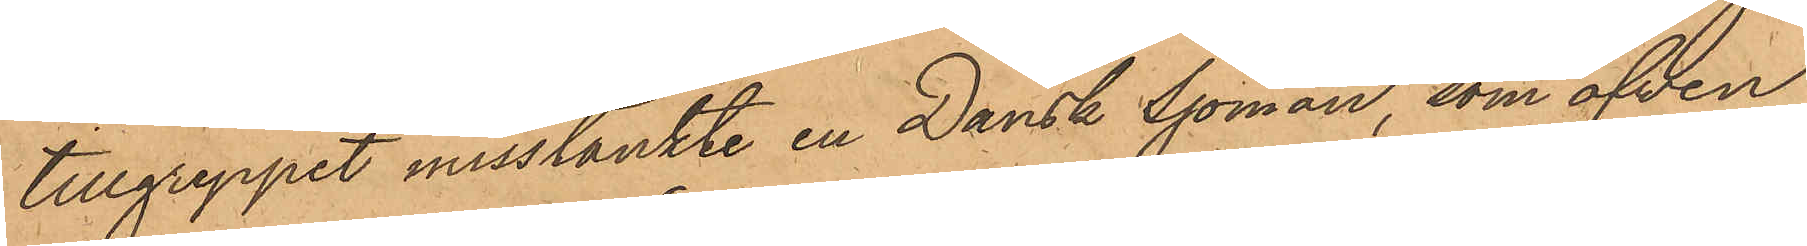tillgreppet misstänkte en Dansk Sjöman, som äfven
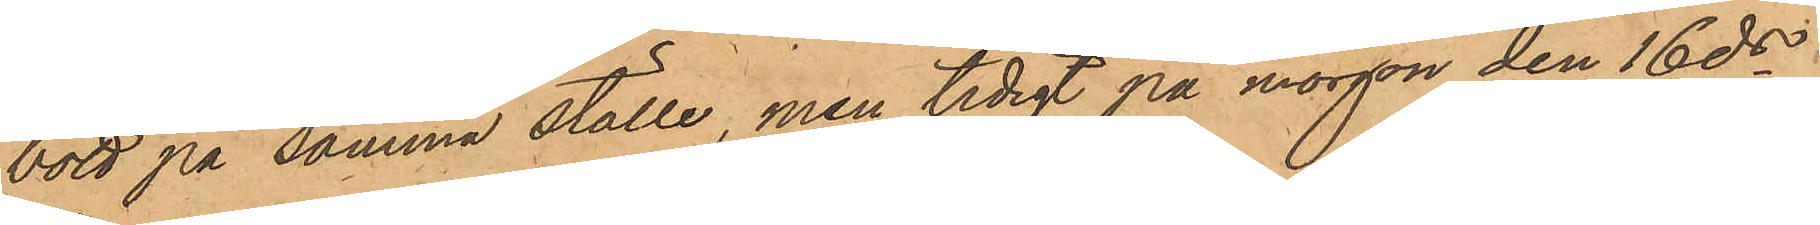bott på samma ställe, men tidigt på morgon den 16 ds
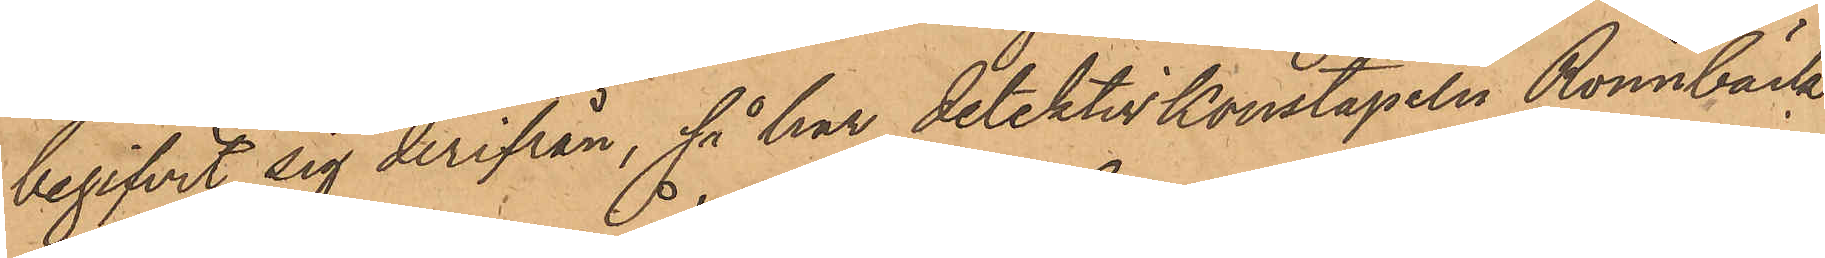begifvit sig derifrån, så har detektivkonstapeln Rönnbäck
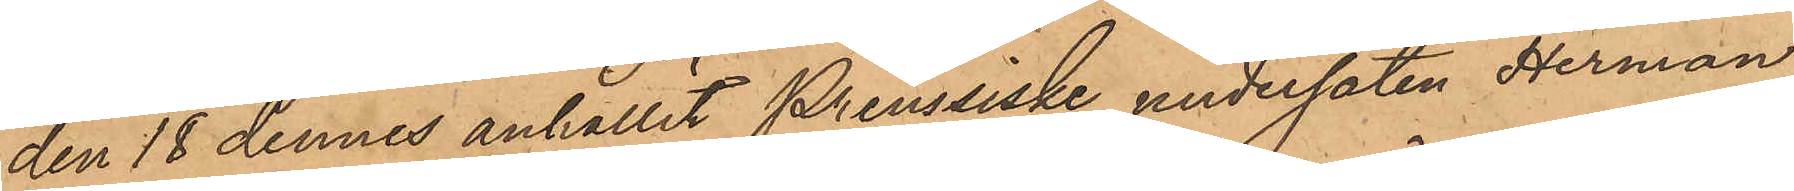den 18 dennes anhållit preussiske undersåten Herman
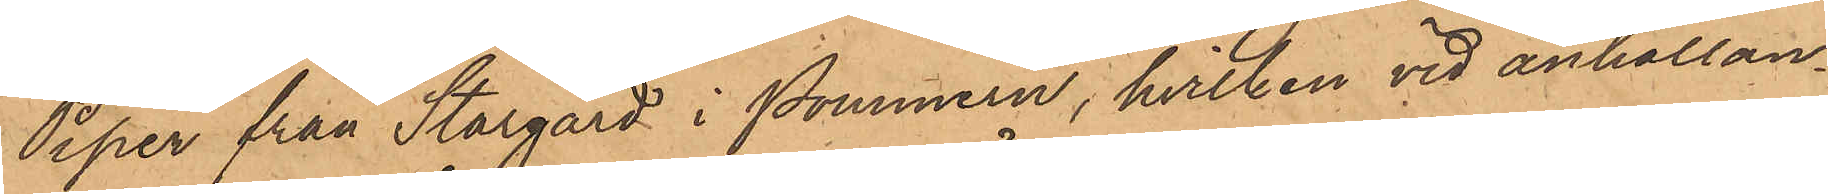Piper från Stargard i Pommern, hvilken vid anhållan¬
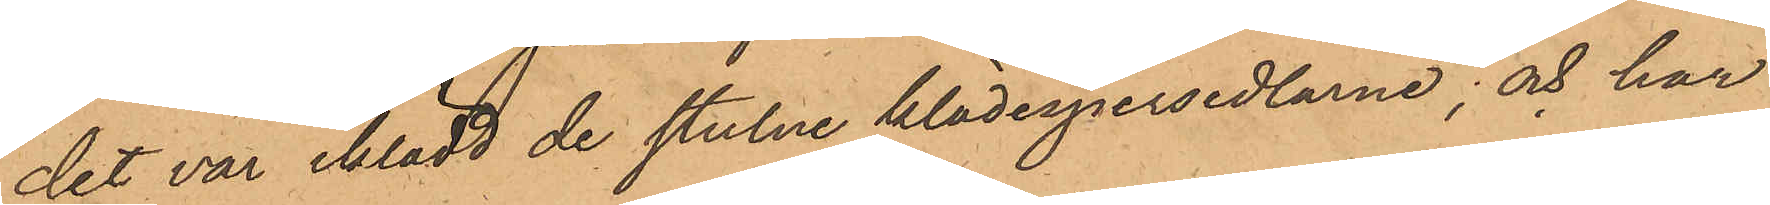det var iklädd de stulne klädespersedlarne; och har
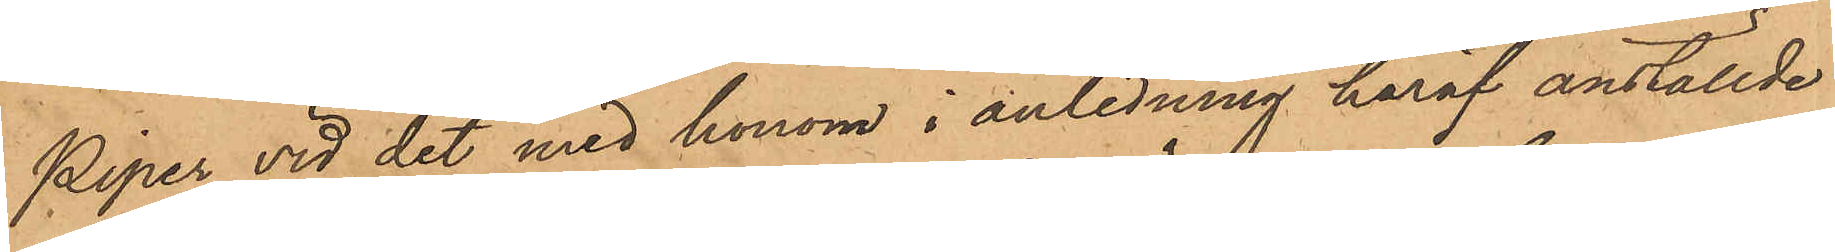Piper vid det med honom i anledning häraf anställde
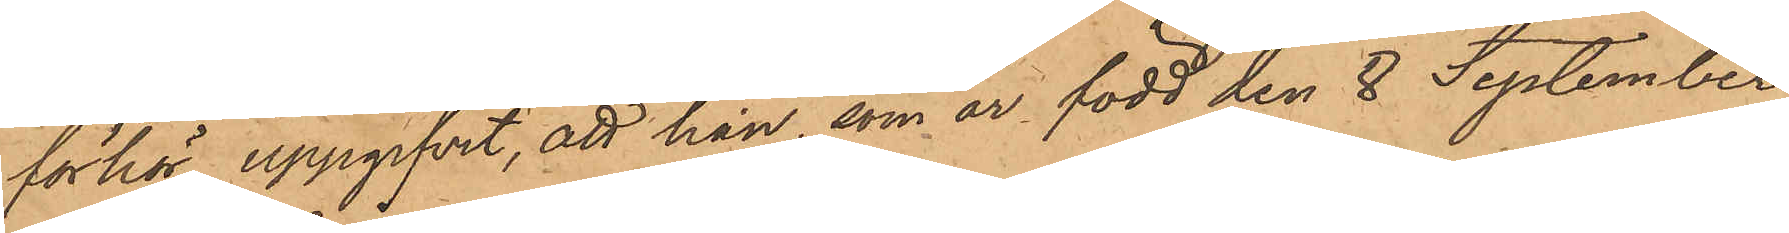förhör uppgifvit, att han, som är född den 8 September
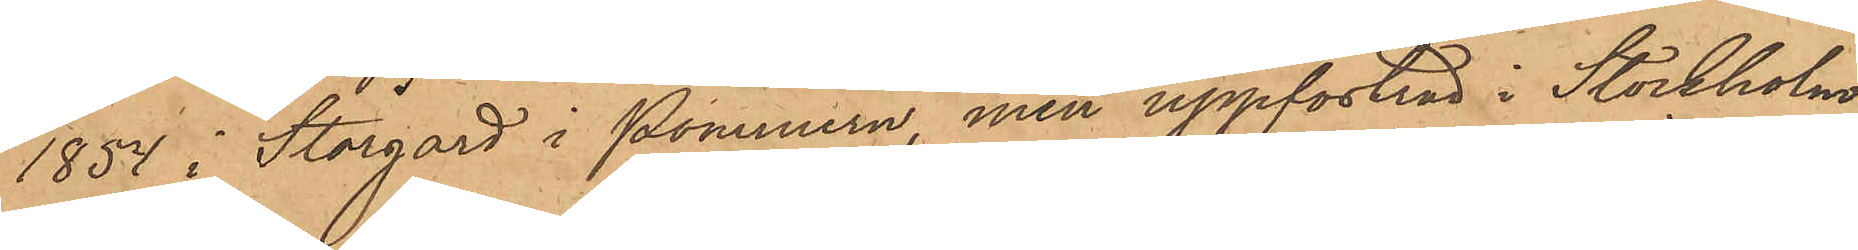1854 i Stargard i Pommern, men uppfostrad i Stockholm,
